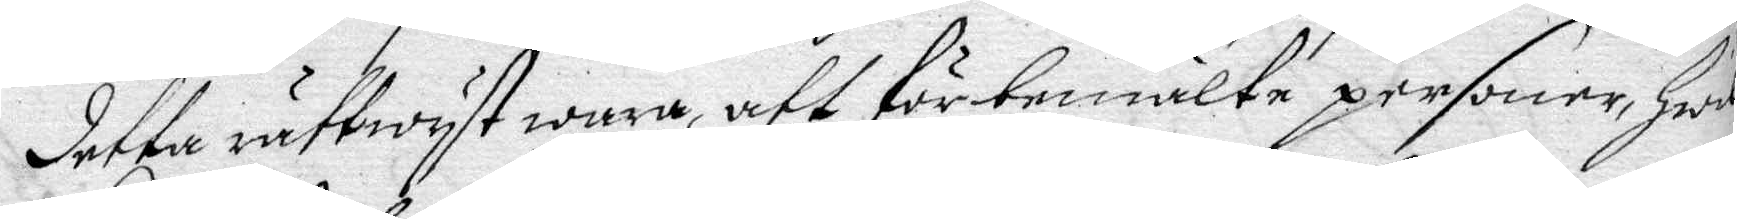detta rättwyst wara, att förbemälte personer, Hwil¬
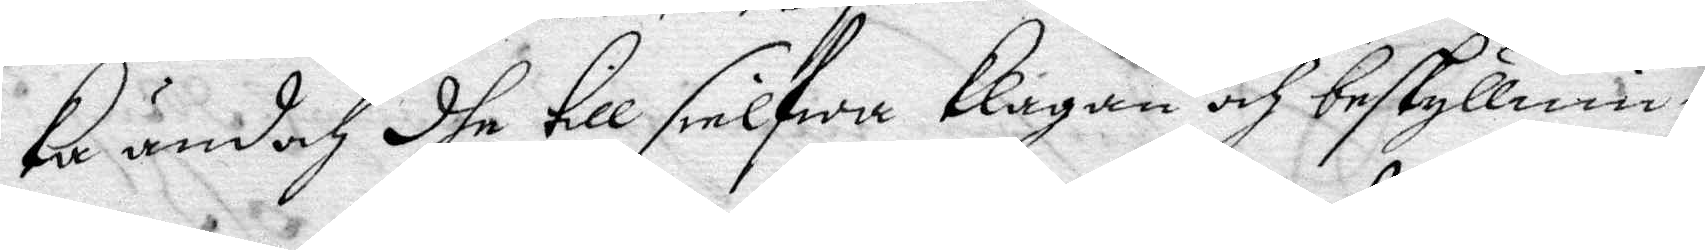Ka ändoch dhe till sielfwa Klagan och beskyllnin¬
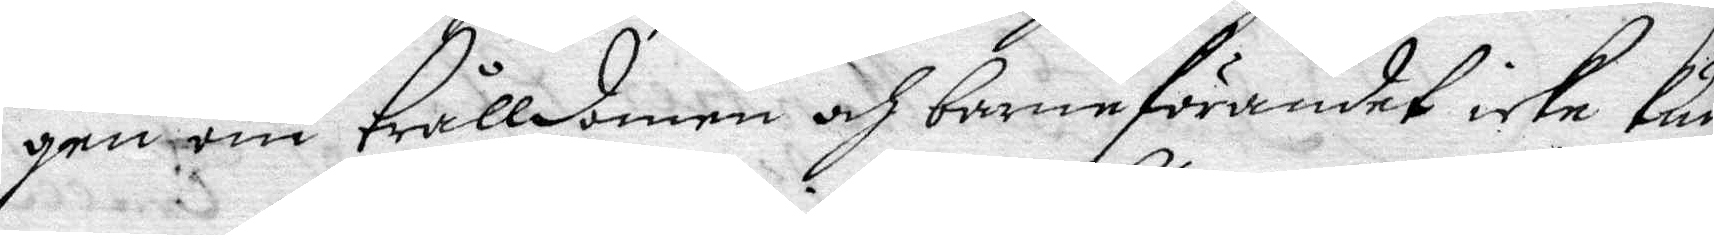gen om Tråkkdom och barneförandet icke Kun¬
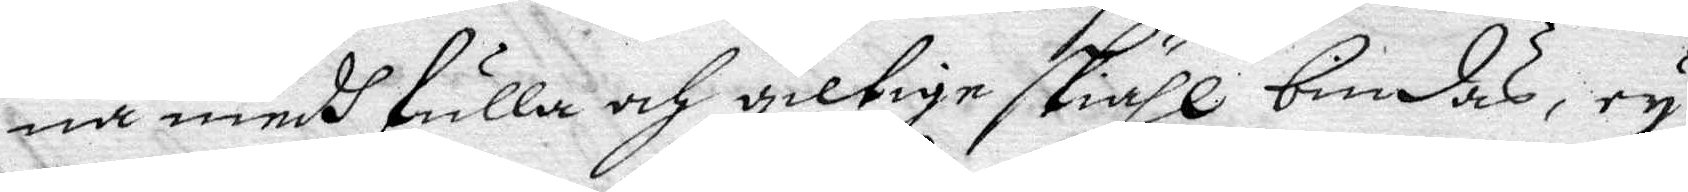na medh fulla och giltige skuähl bindas, ey
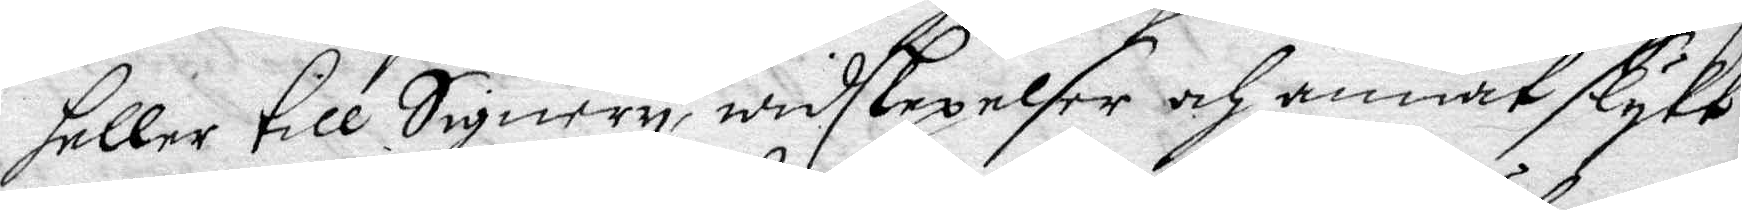helle till Signery, widskepelser och annat slykt
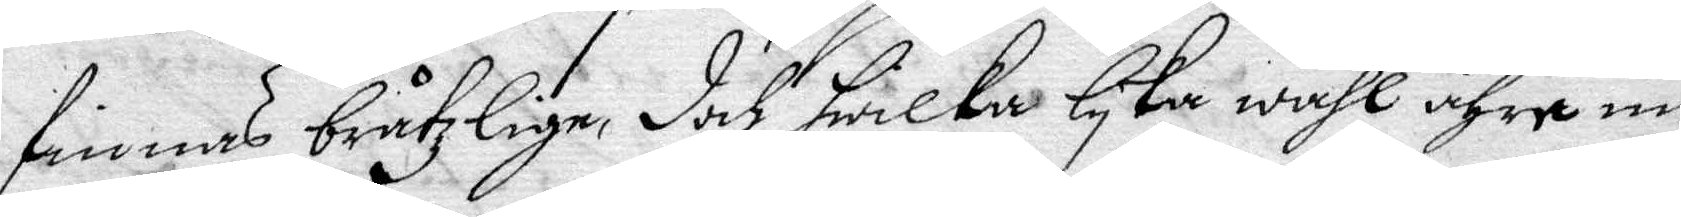finnas bråtzlige, doch hwilka lyka wähl ähre men
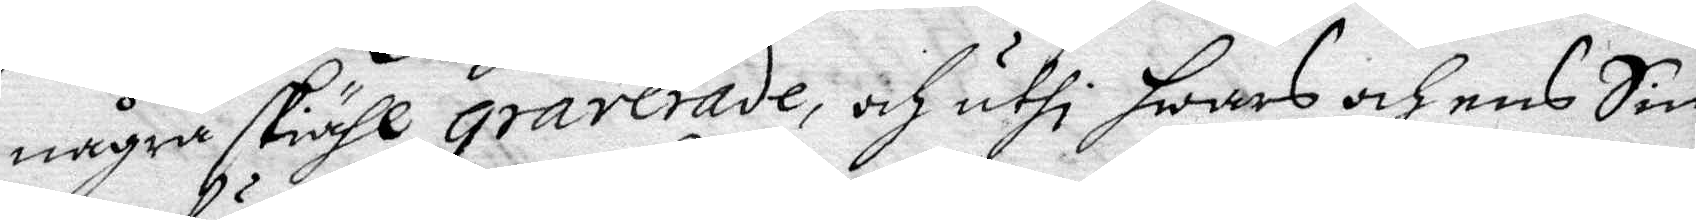någre skiähl graverade, och uthi hwars och ens Sin¬
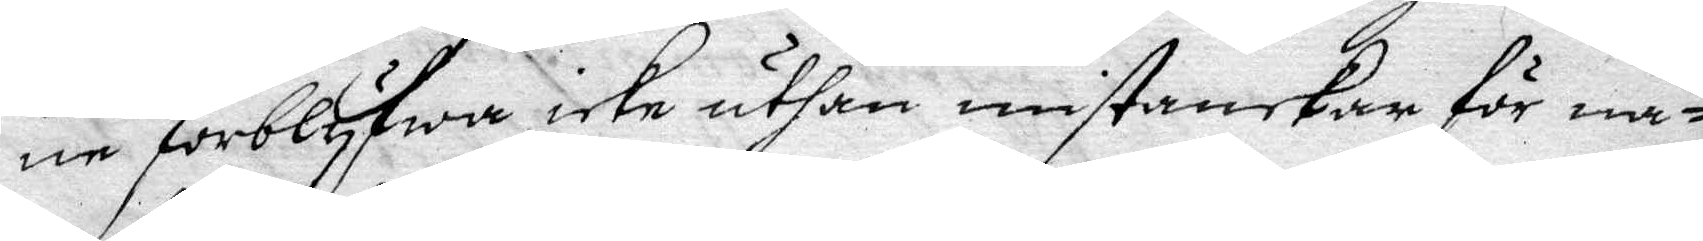ne förblyfwa icke uthan mistankar för nå¬
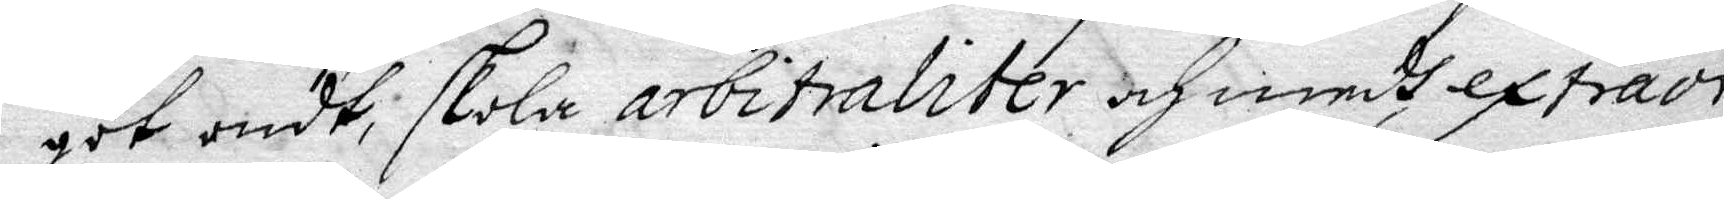got ondt, skola arbiraliter och medh extraor¬
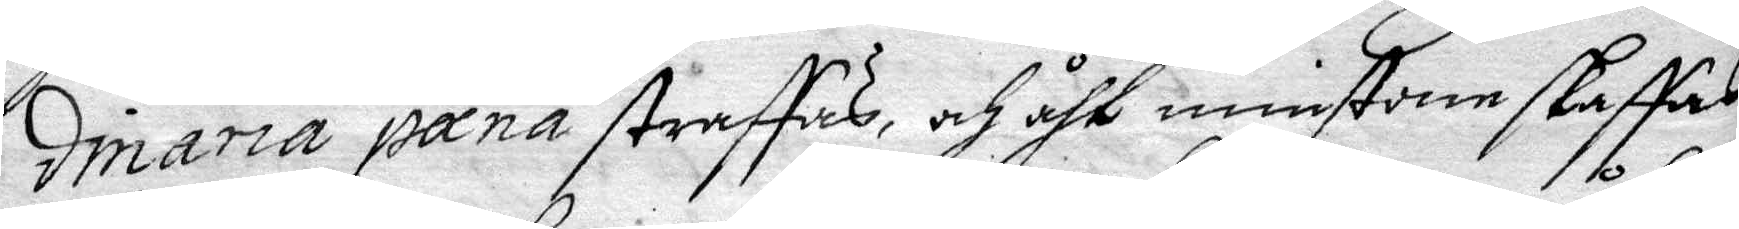dinarie panå straffas, och åth minstone skaffas
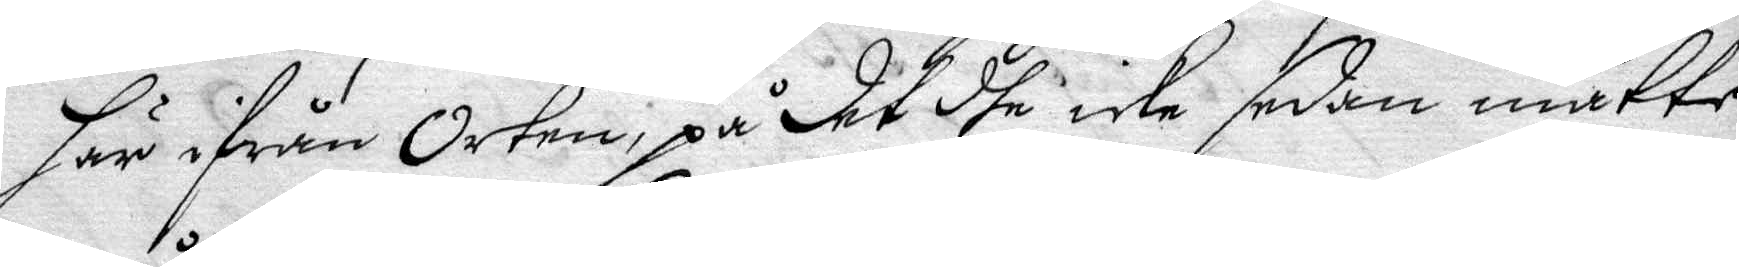här ifrån orten, på det dhe icke sedan måtte
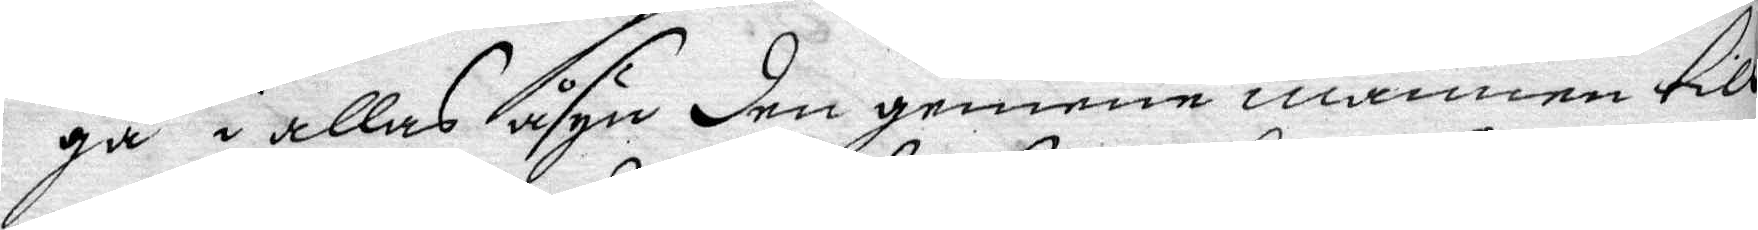gå i allas åsyn den genom mannen till
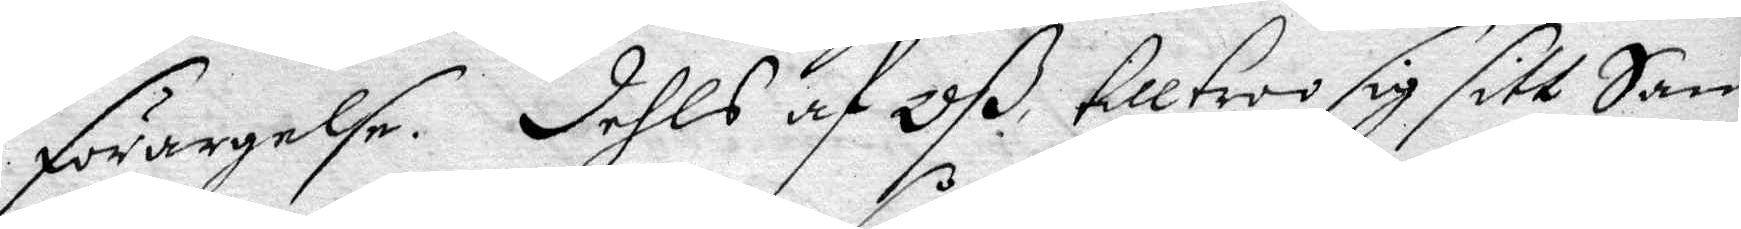förargelse. Dehls af Oß tilltro sig sitt Sam¬
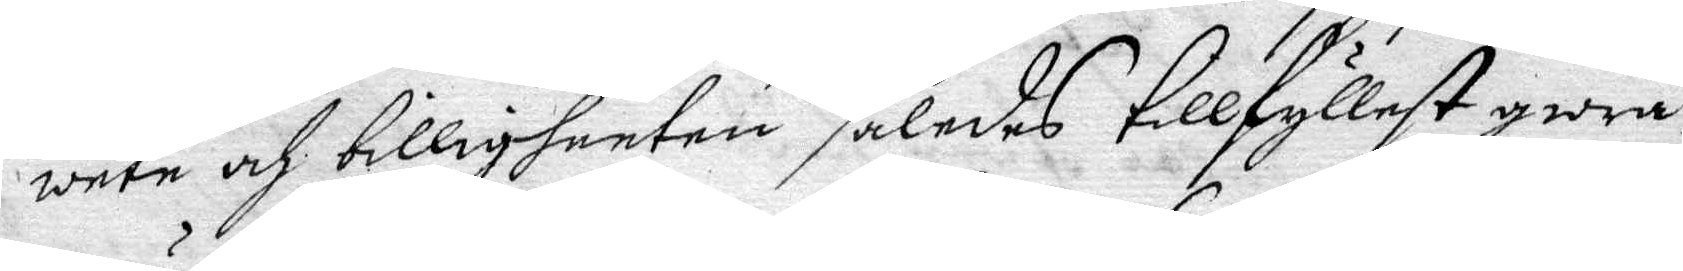wete och billigheeter således tillfyllest giöra
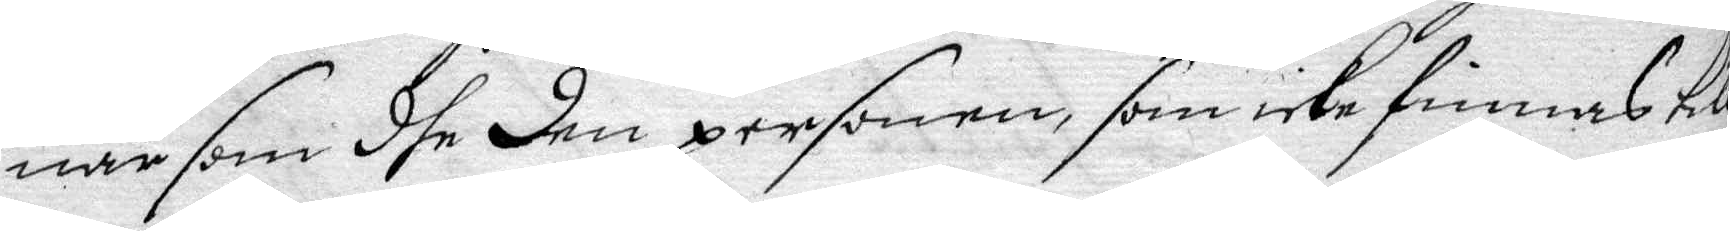när som dhe den personen, som icke finnas till
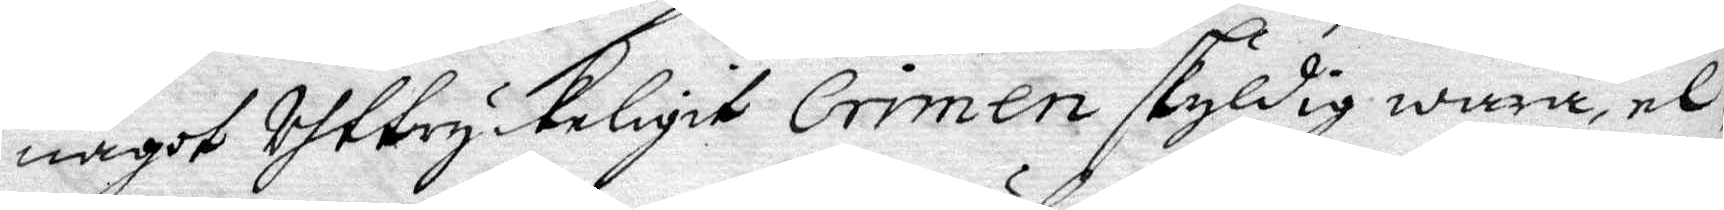något Uhtbryckeligit Crimen skyldig wara, el¬
